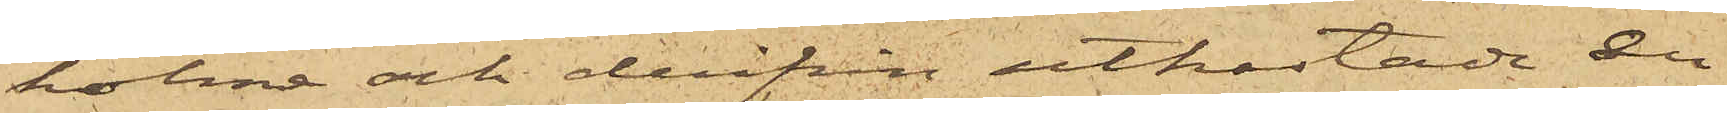holme och derifrån utkastade en
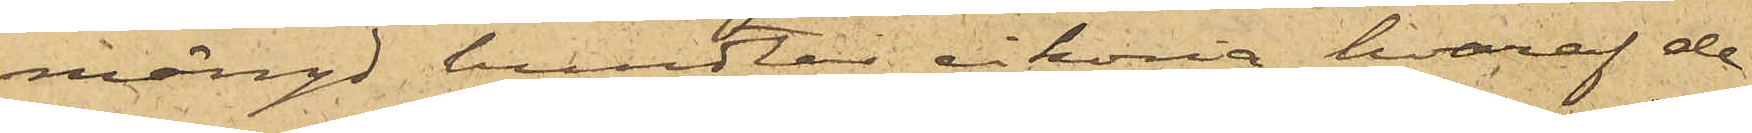mängd bundtar cikoria, hvaraf de
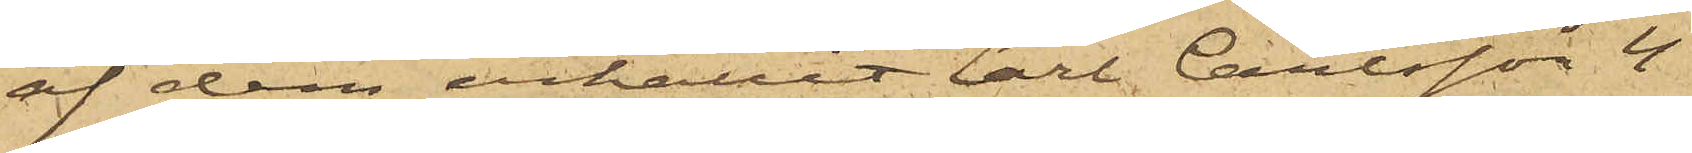af dem erhållit Carl Carlsson 4
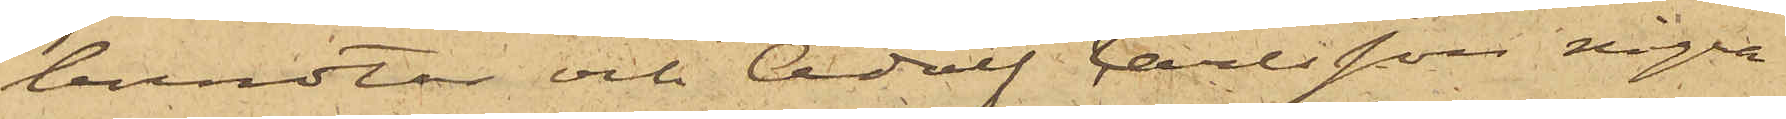bundtar och Adolf Carlsson några
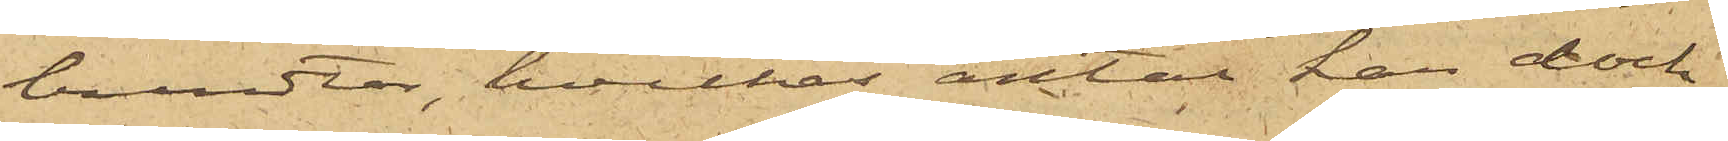bundtar, hvilket antal han dock
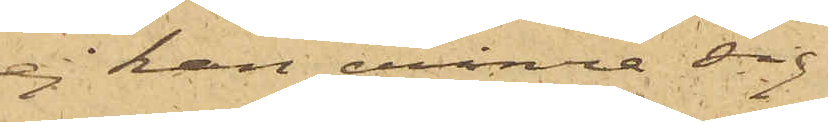ej han erinra sig.
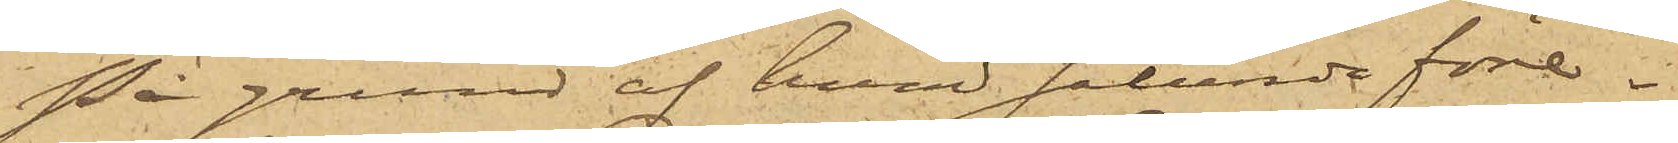På grund af hvad sålunda före¬
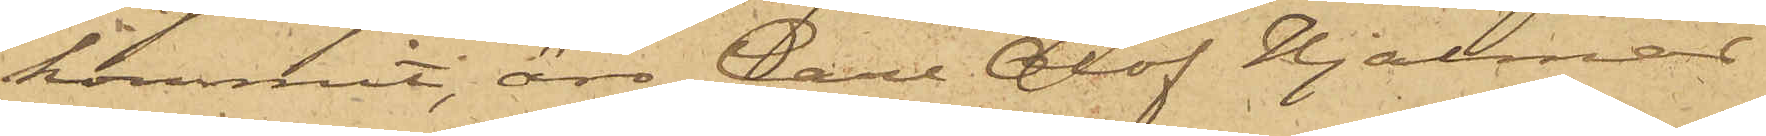kommit, äro Carl Olof Hjalmar
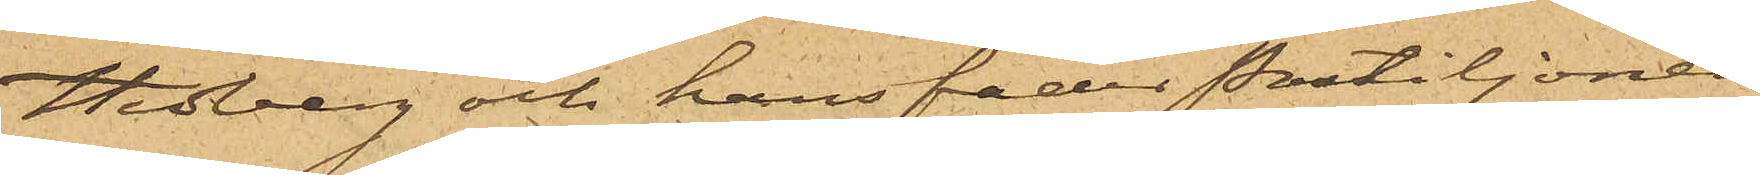Hedberg och hans fader Postiljonen
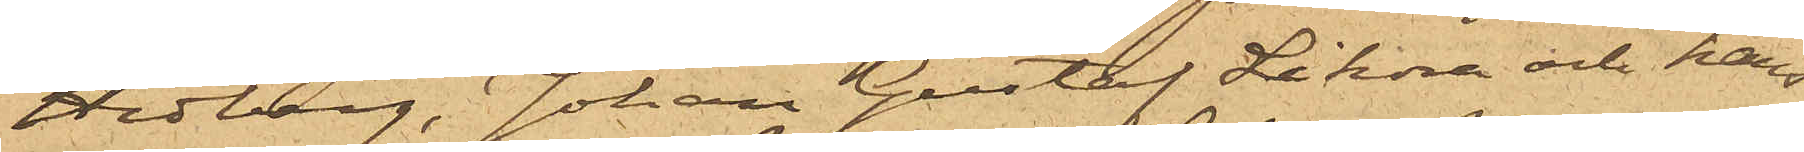Hedberg, Johan Gustaf Sikora och hans
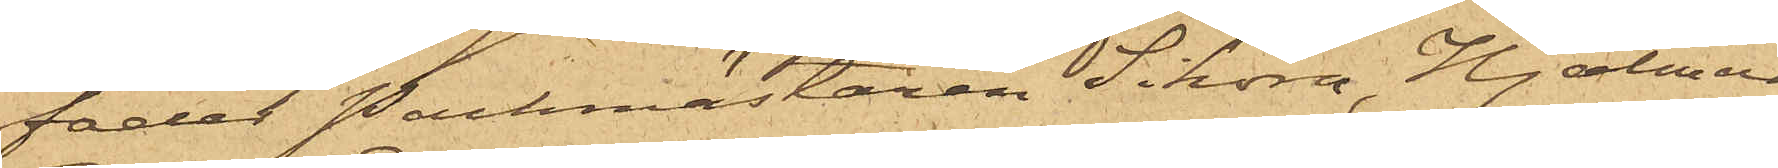fader Packmästaren Sikora, Hjalmar
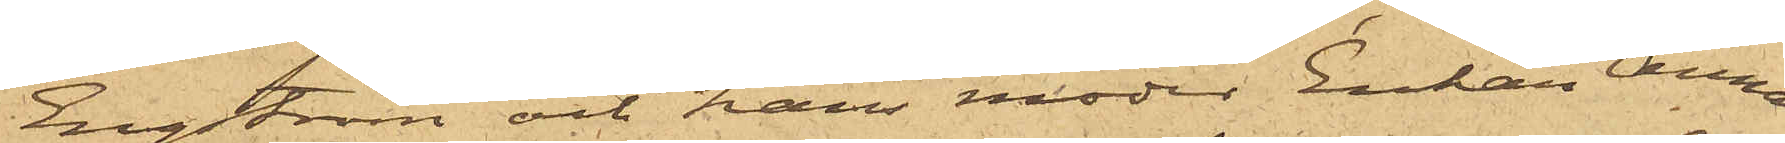Engström och hans moder Enkan Anna
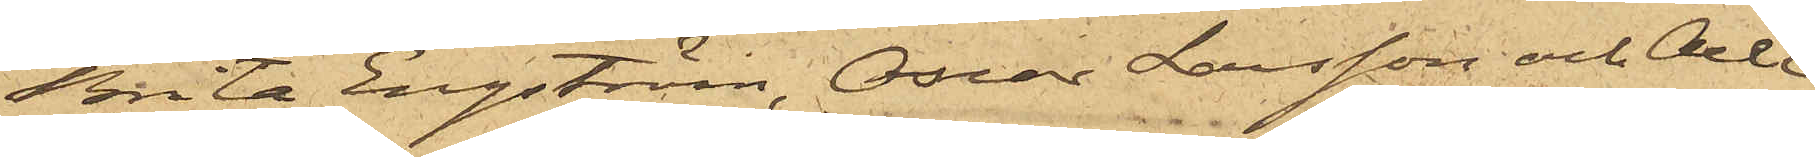Brita Engström, Oscar Larsson och Axel
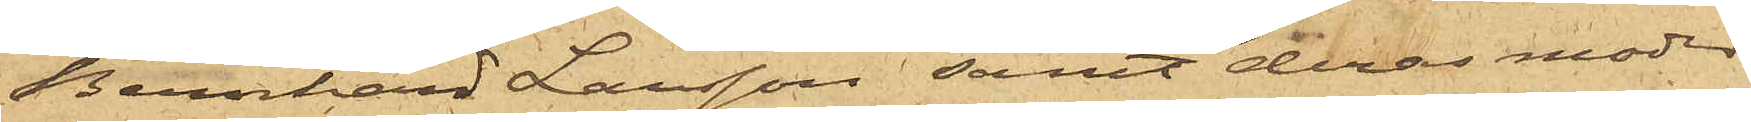Bernhard Larsson samt deras moder
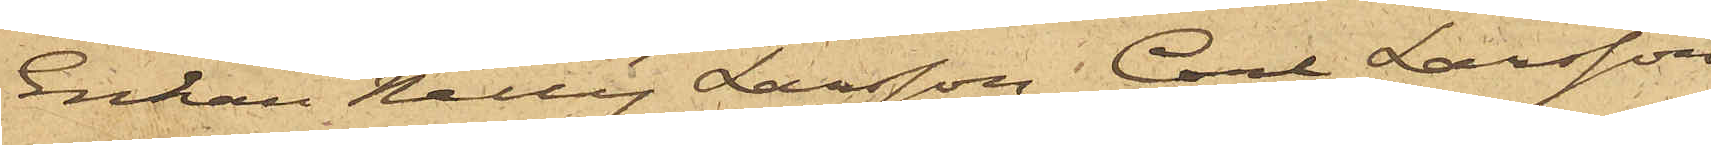Enkan Nelly Larsson, Carl Larsson
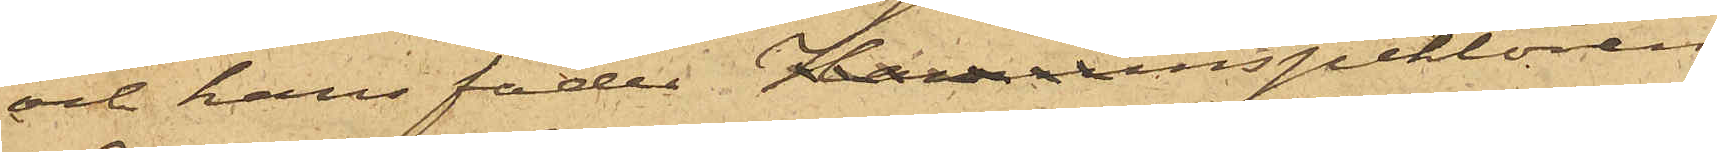och hans fader Hamninspektoren
